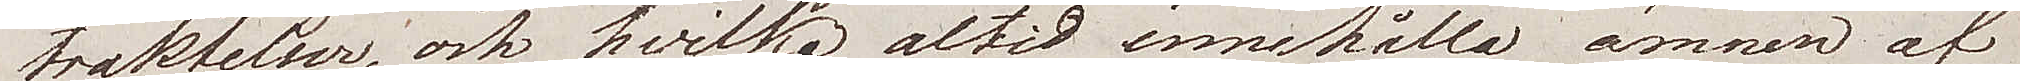traktelser, och hvilka altid innehålla ämnen af
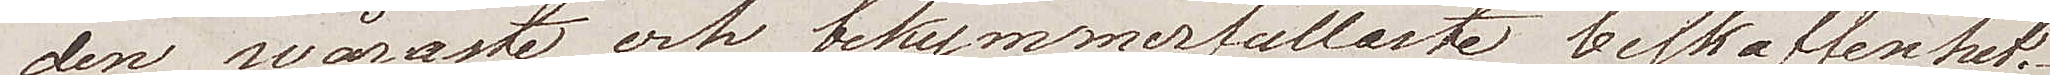den svåraste och bekymmerfullaste beskaffenhet.
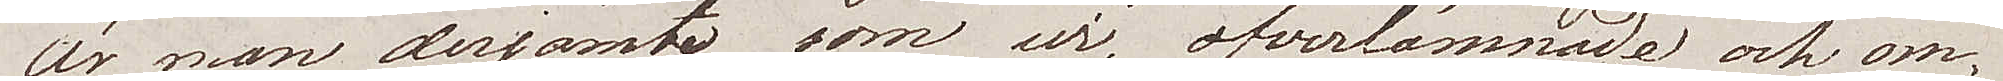Är man derjämte som wi öfverlämnade och om¬
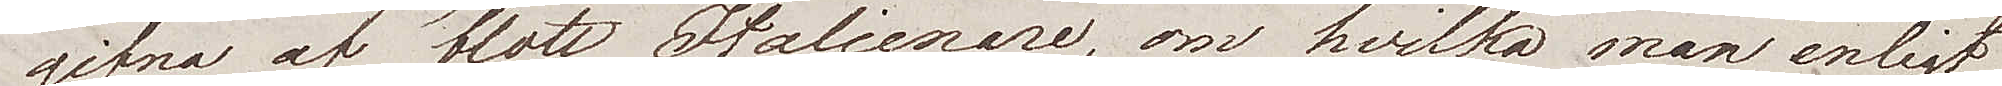gifna af blott italienare, om hvilka man enligt
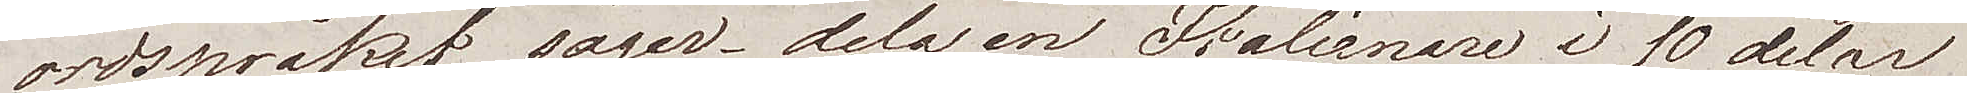ordspråket säger – dela en italienare i 10 delar
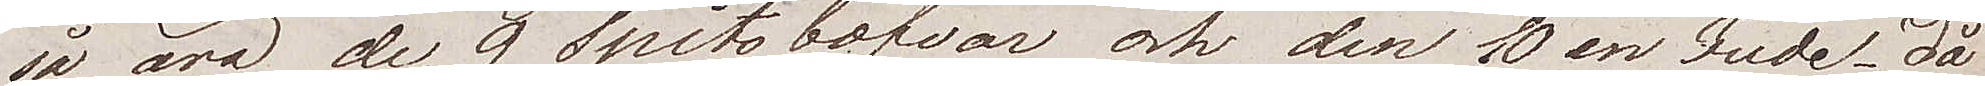så äro de 9 spitsbofvar och den 10 en Jude – då
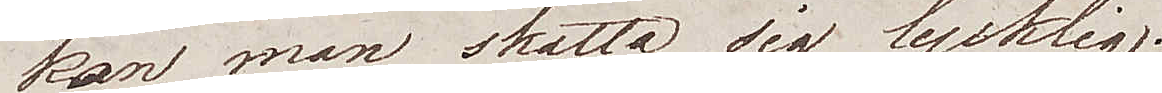kan man skatta sig lycklig.
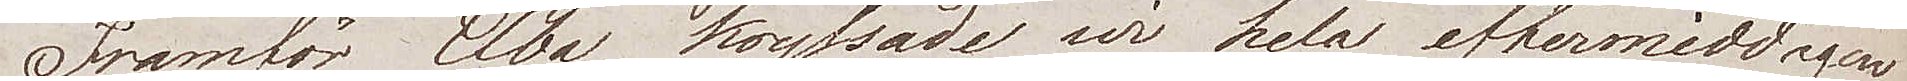Framför Elba kryssade wi hela eftermiddagen
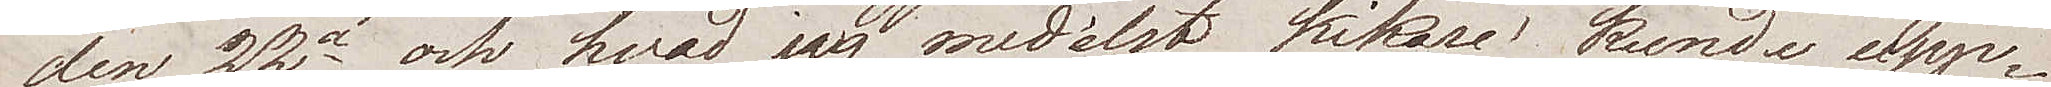den 22a och hvad jag medelst kikare kunde upp¬
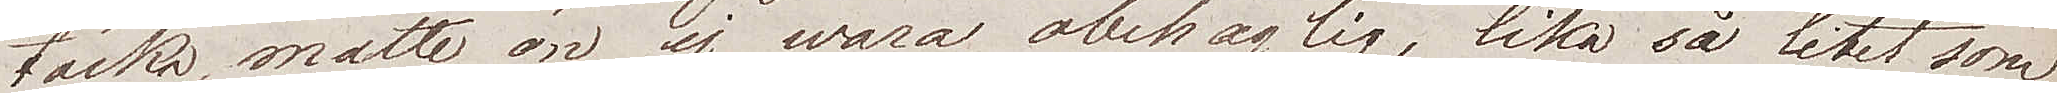täcka, måtte ön ej wara obehaglig, lika så litet som
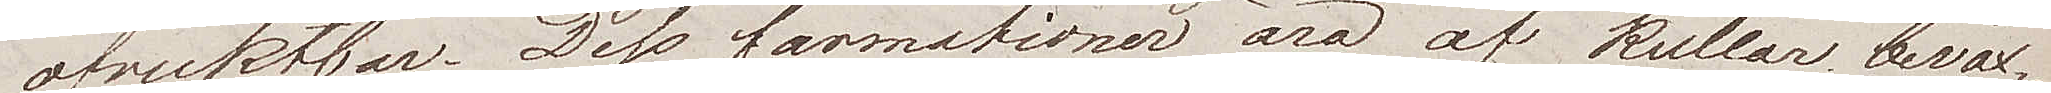ofruktbar. Dess formationer äro af kullar beväx¬
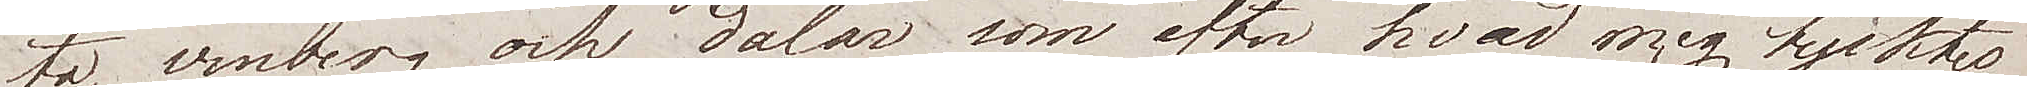ta, vinberg och dalar som efter hvad mig tycktes
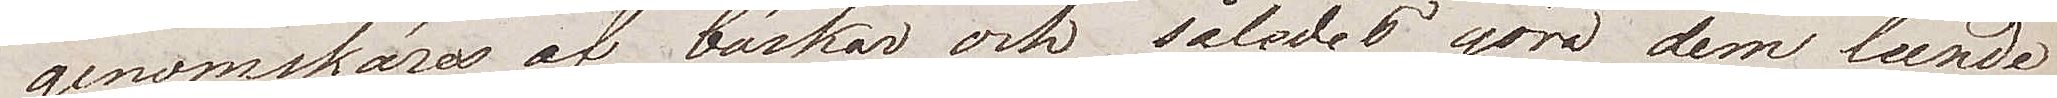genomskäras af bäckar och således göra dem leende
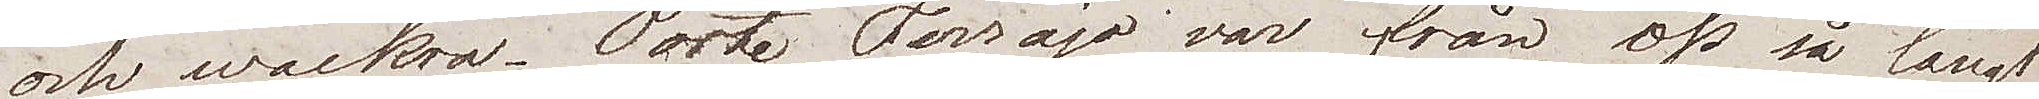och wackra. Porte Ferrajo var från oss så långt
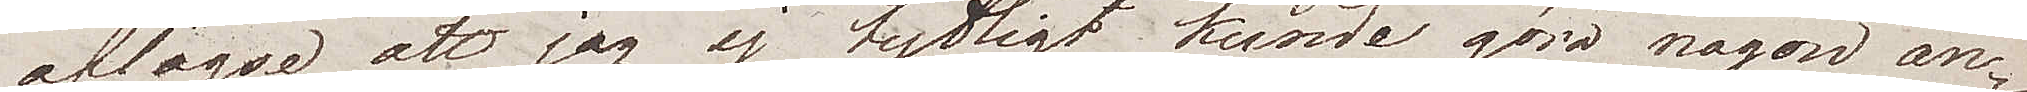aflägse, att jag ej tydligt kunde göra någon an¬
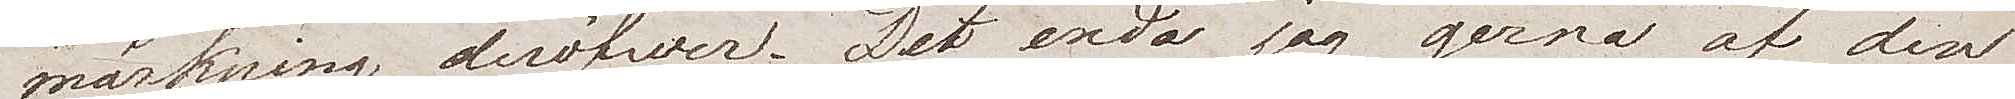märkning deröfwer. Det enda jag gerna af den
